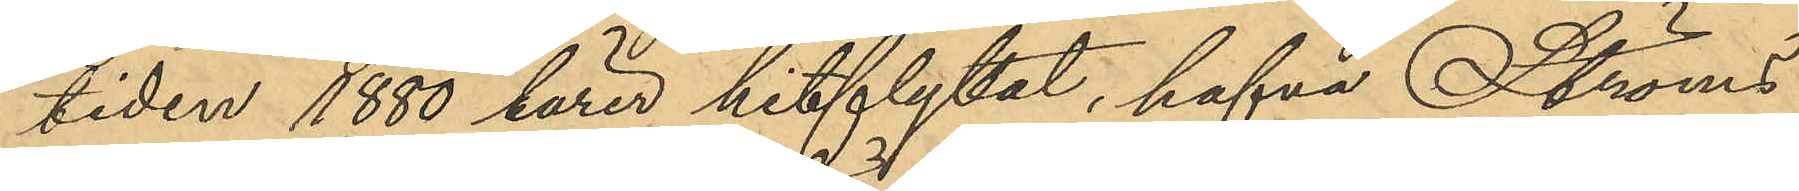tiden 1880 lärer hitflyttat, hafva Ströms
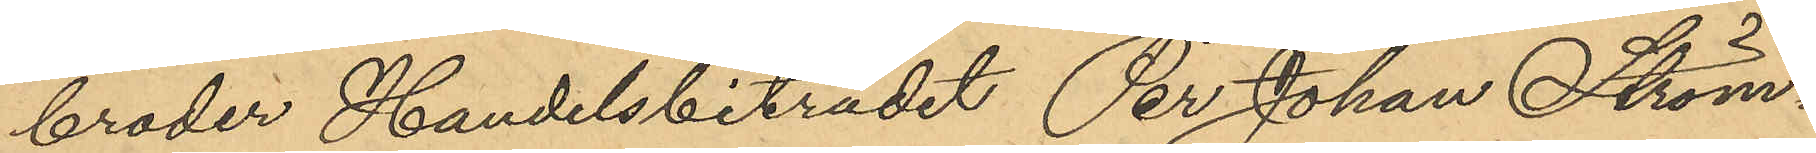broder Handelsbiträdet Per Johan Ström¬
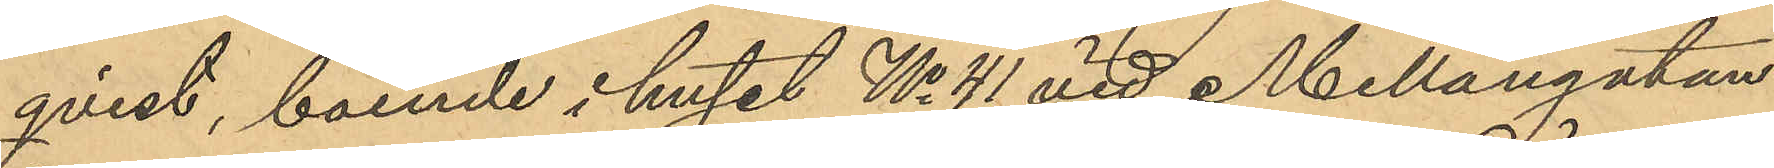qvist, boende i huset No 41 vid Mellangatan,
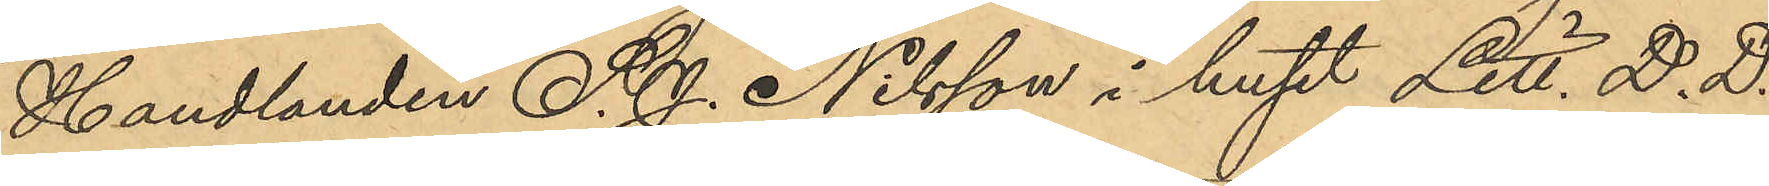Handlanden S. J. Nilsson i huset Litt. D. D.
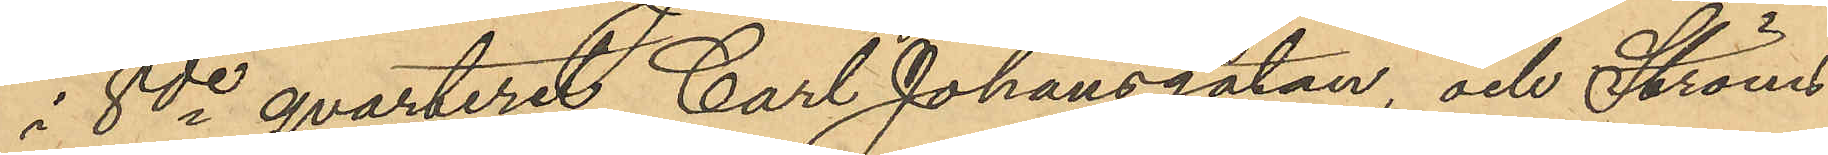i 8de qvarteret Carl Johansgatan, och Ströms
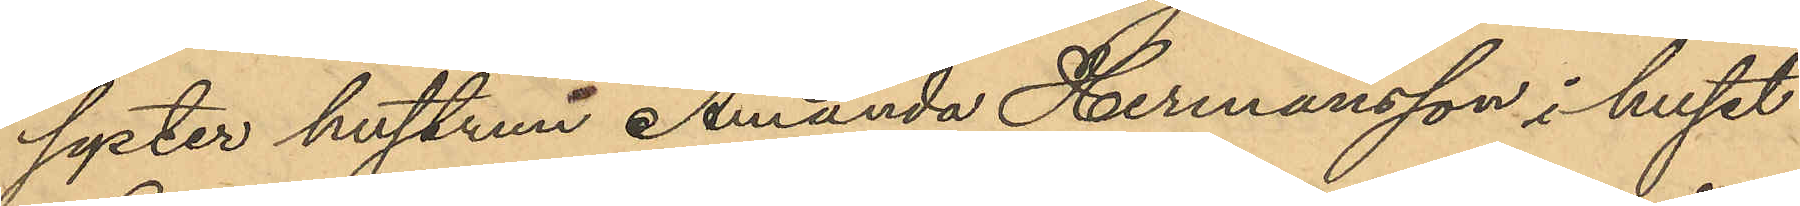syster hustrun Amanda Hermansson i huset
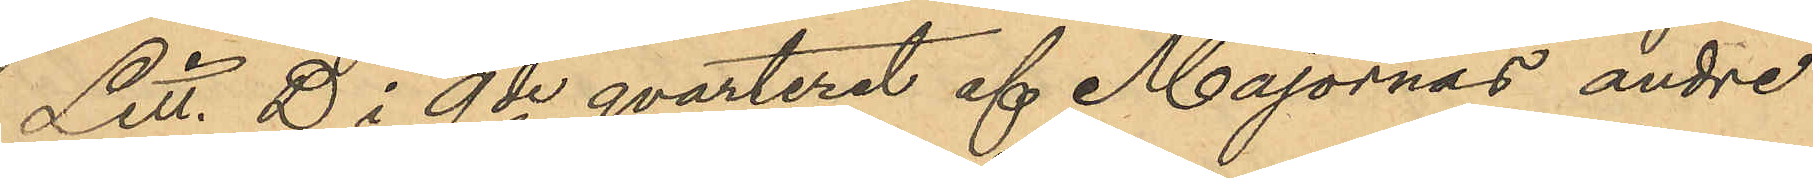Litt. D i 9de qvarteret af Majornas andre
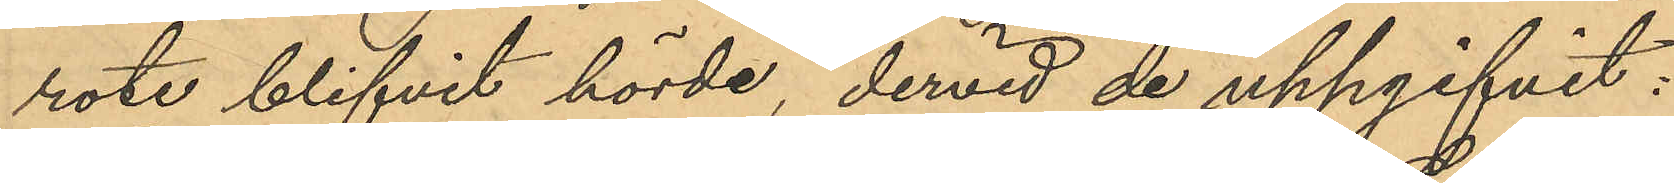rote blifvit hörde, dervid de uppgifvit:
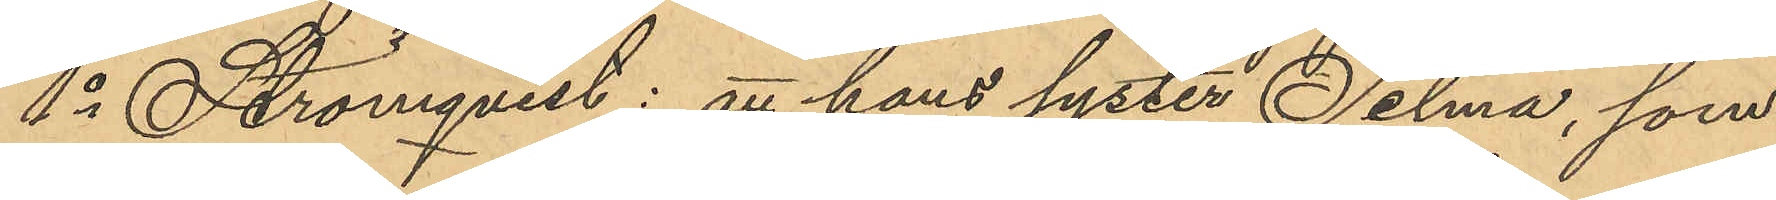1o Strömqvist: att hans syster Selma, som
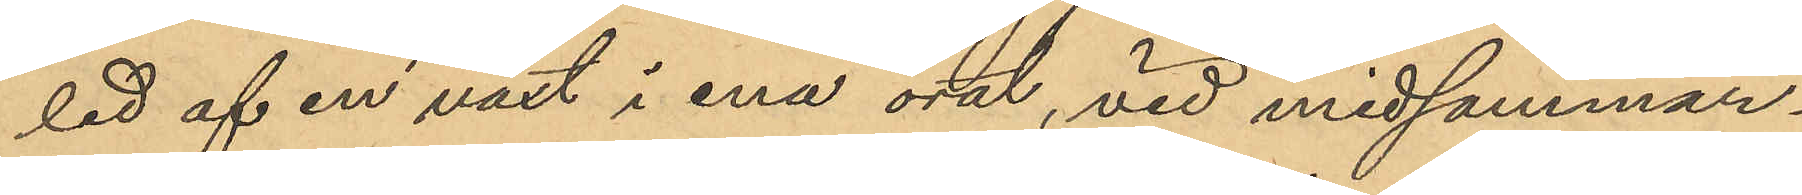led af en växt i ena örat, vid midsommar¬
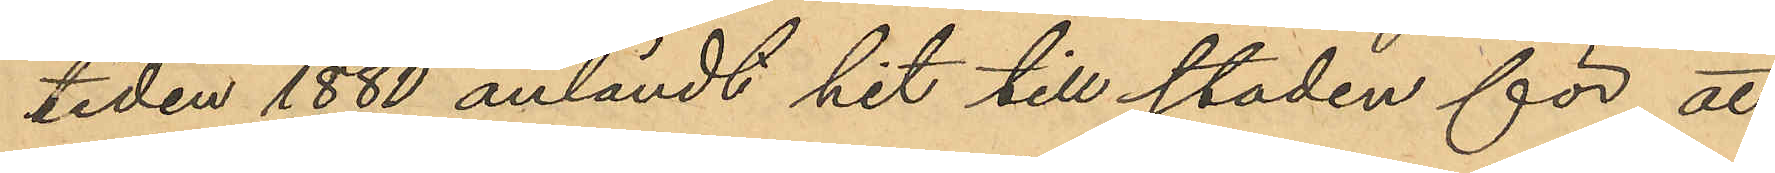tiden 1880 anländt hit till staden för att
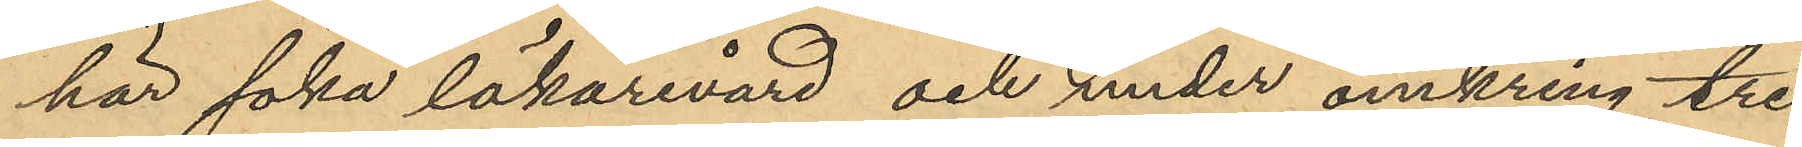här söka läkarevård och under omkring tre
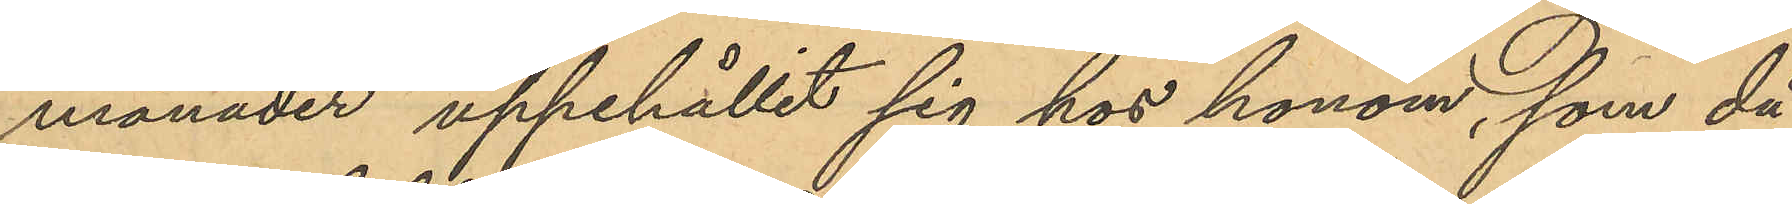månader uppehållit sig hos honom, som då
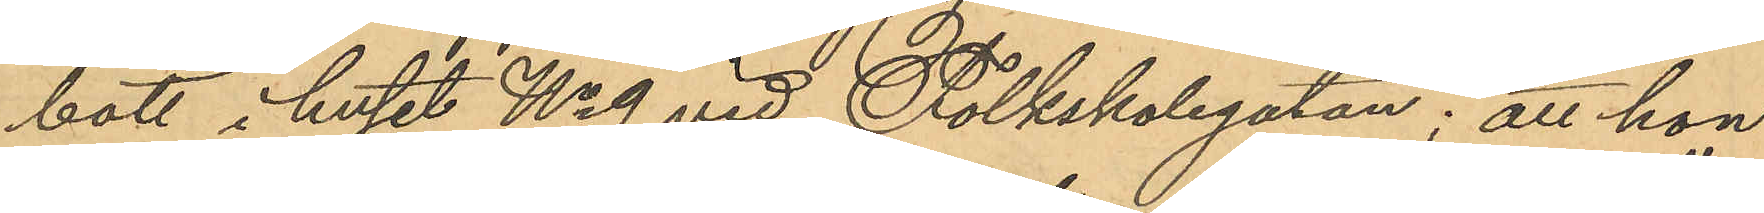bott i huset No 9 vid Folkskolegatan; att hon
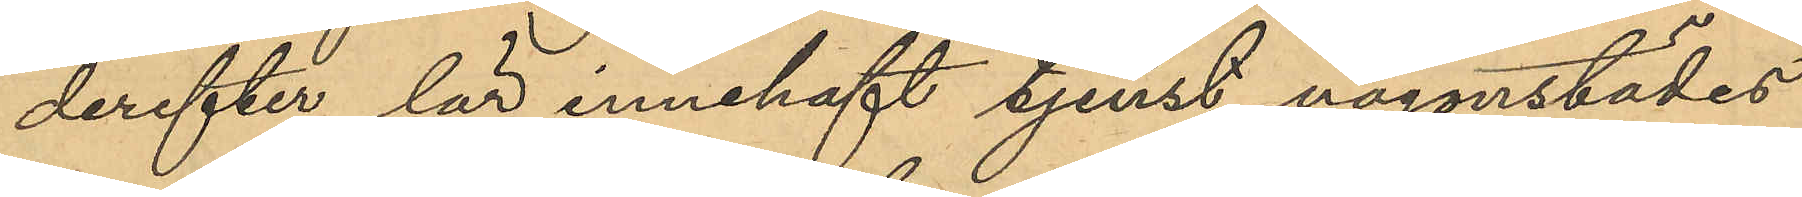derefter lär innehaft tjenst någonstädes
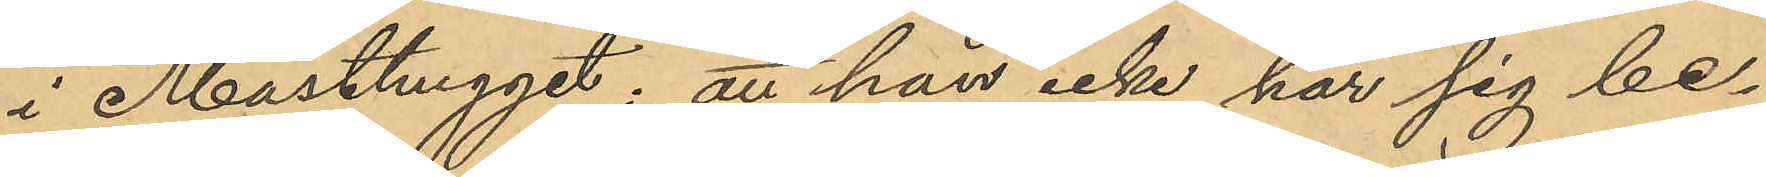i Masthugget; att han icke har sig be¬
